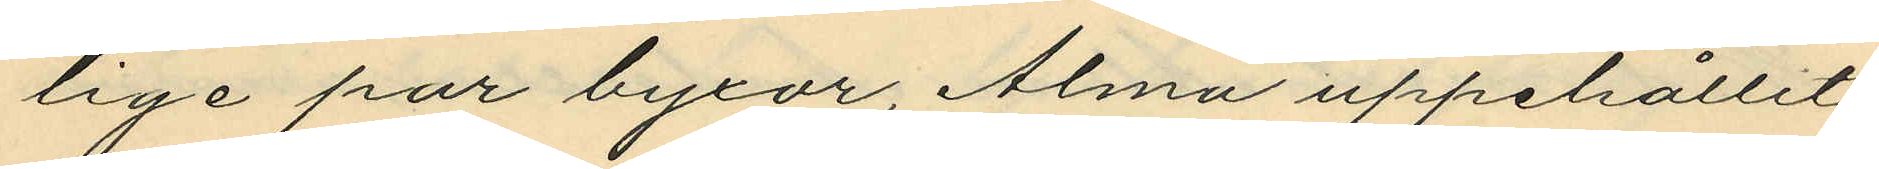lige par byxor, Alma uppehållit
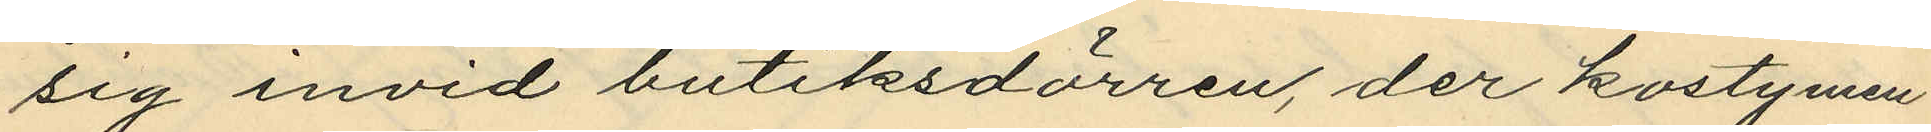sig invid butiksdörren, der kostymen
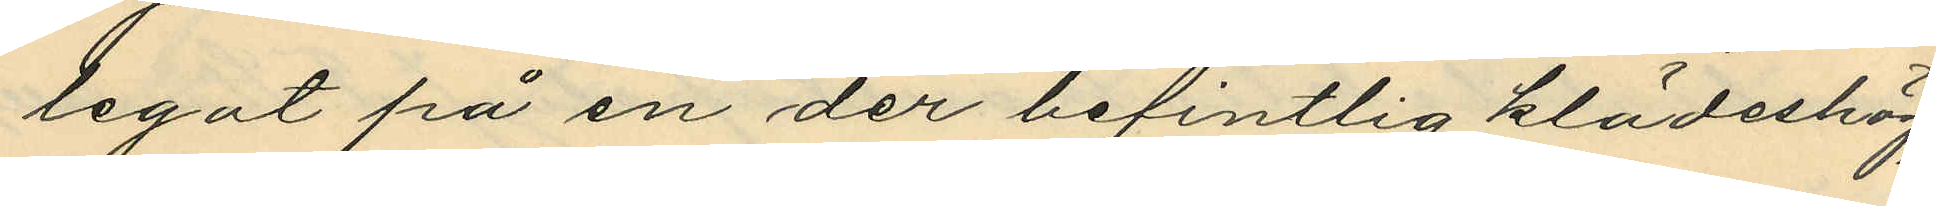legat på en der befintlig klädeshög;
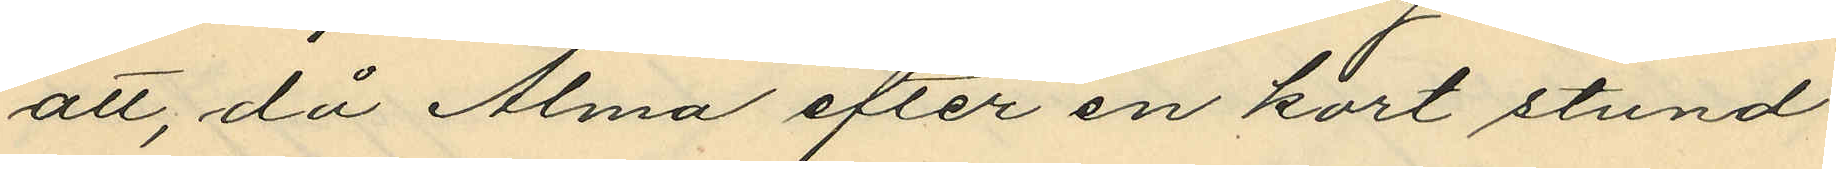att, då Alma efter en kort stund
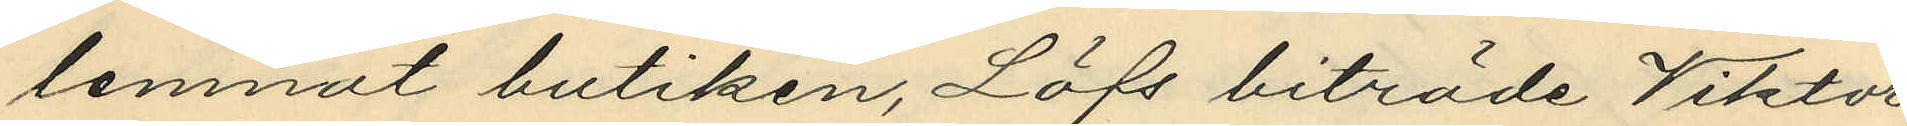lemnat butiken, Löfs biträde Viktor
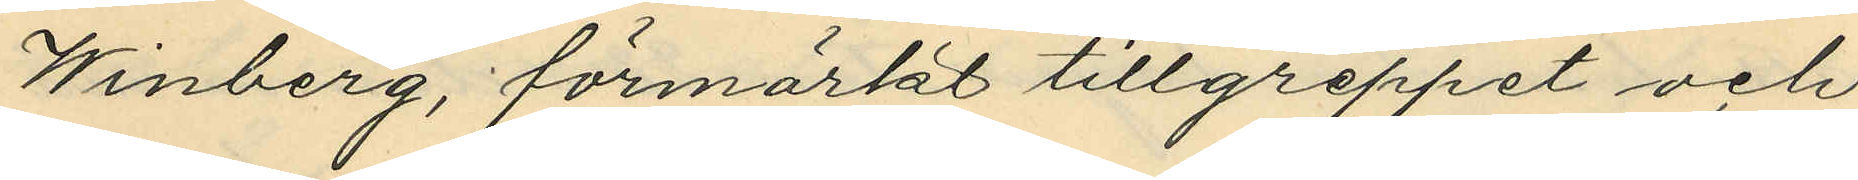Winberg, förmärkt tillgreppet och
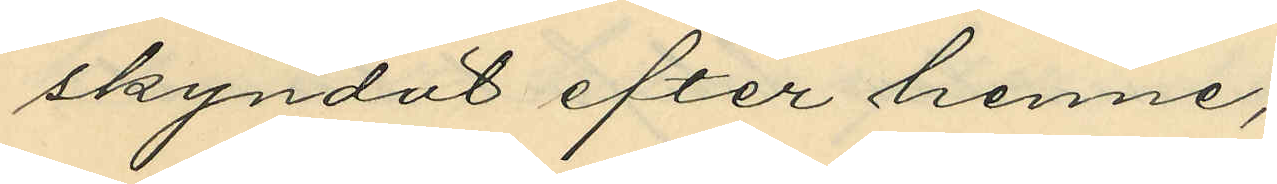skyndat efter henne;
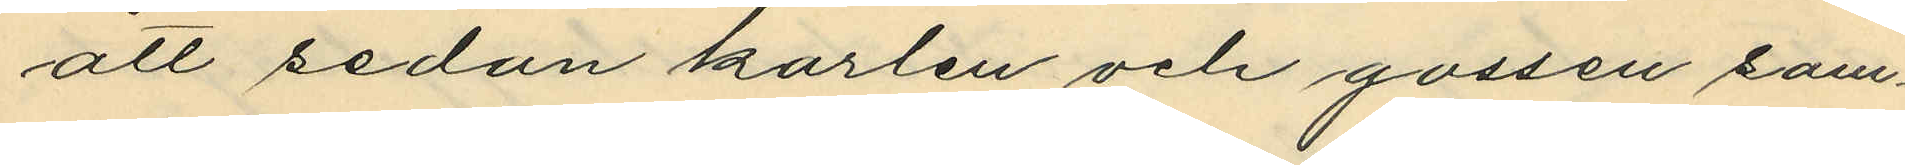att sedan karlen och gossen sam¬
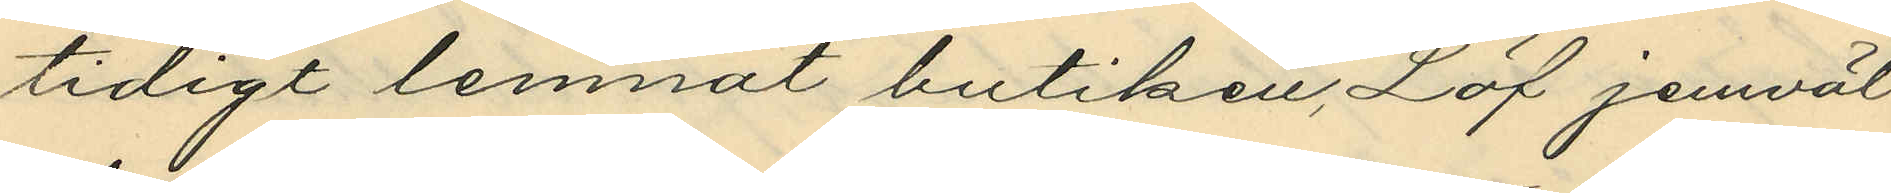tidigt lemnat butiken, Löf jemväl
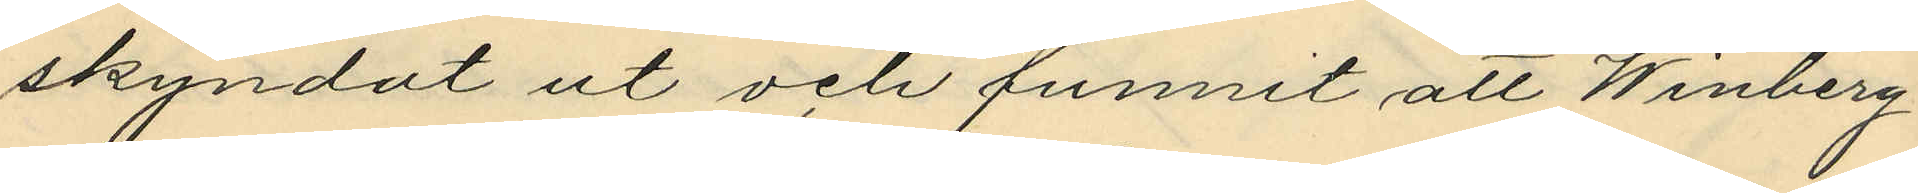skyndat ut och funnit att Winberg
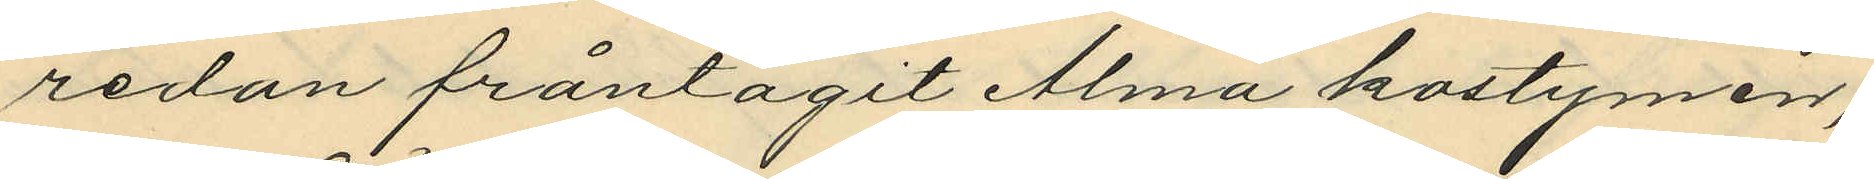redan fråntagit Alma kostymen;
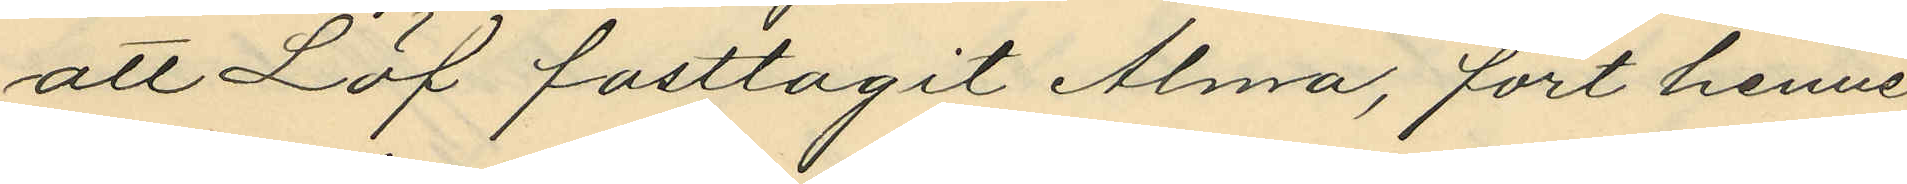att Löf fasttagit Alma, fört henne
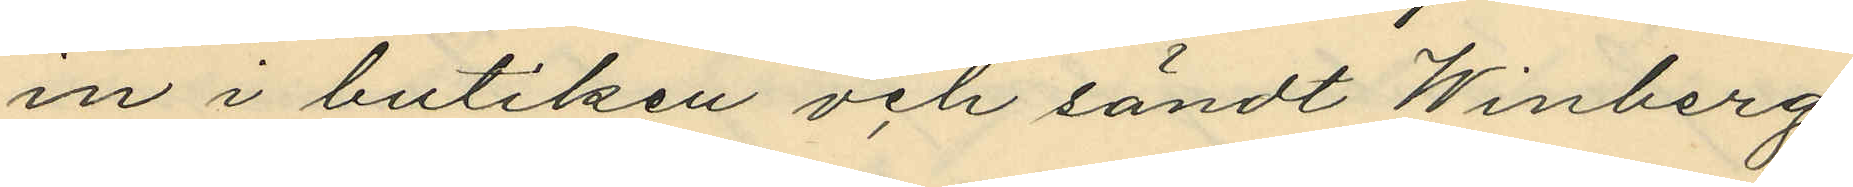in i butiken och sändt Winberg
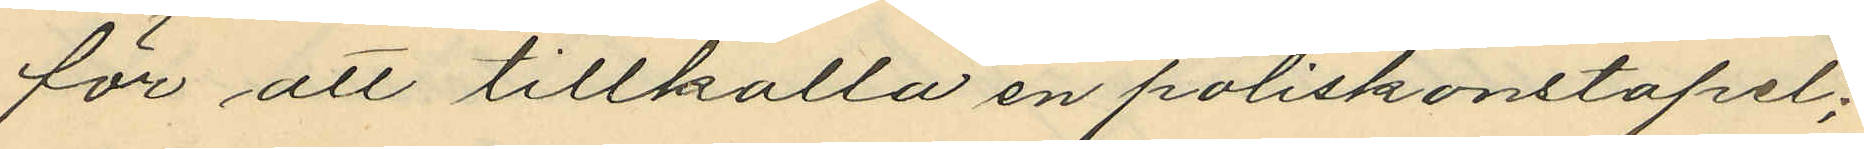för att tillkalla en poliskonstapel;
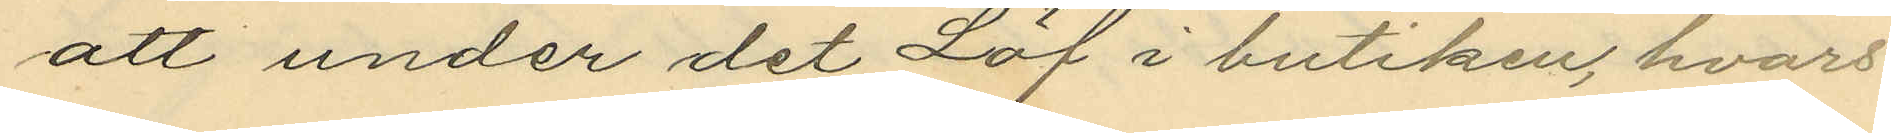att under det Löf i butiken, hvars
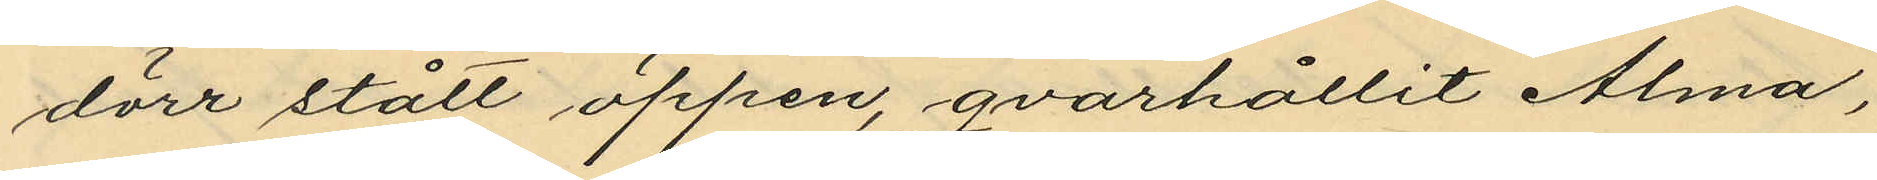dörr stått öppen, qvarhållit Alma,
